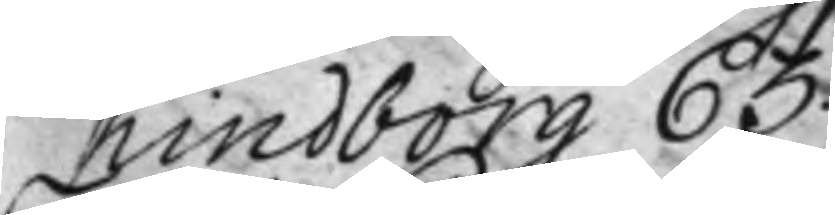Kindborg 63.
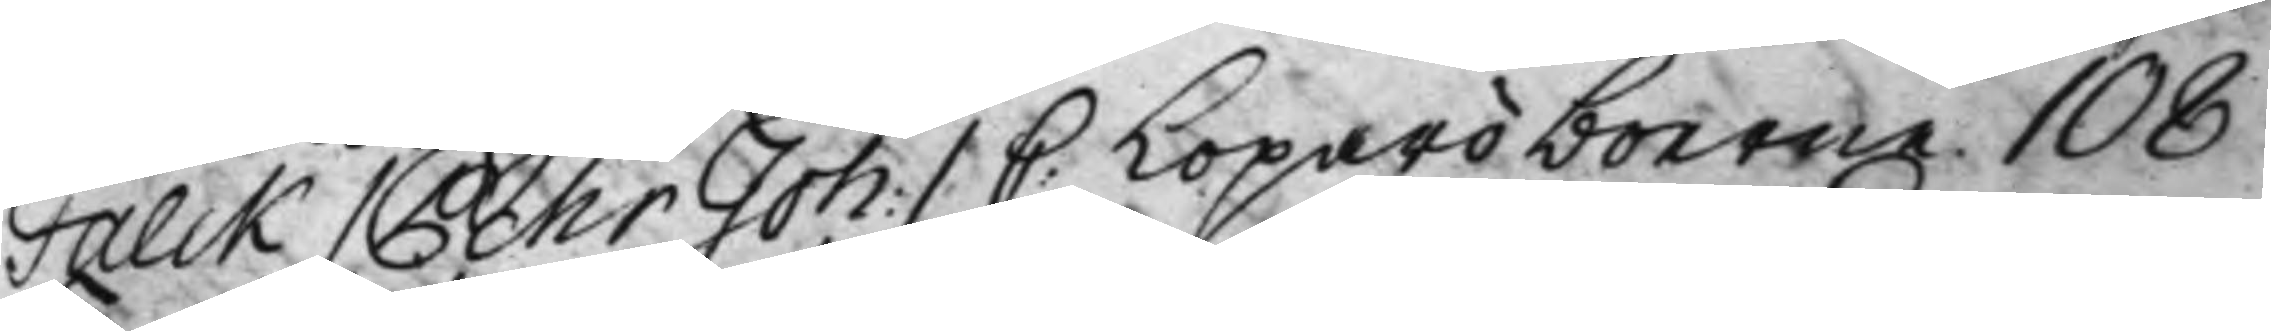Falck / Pehr Joh: / C: Loparöboerne 108
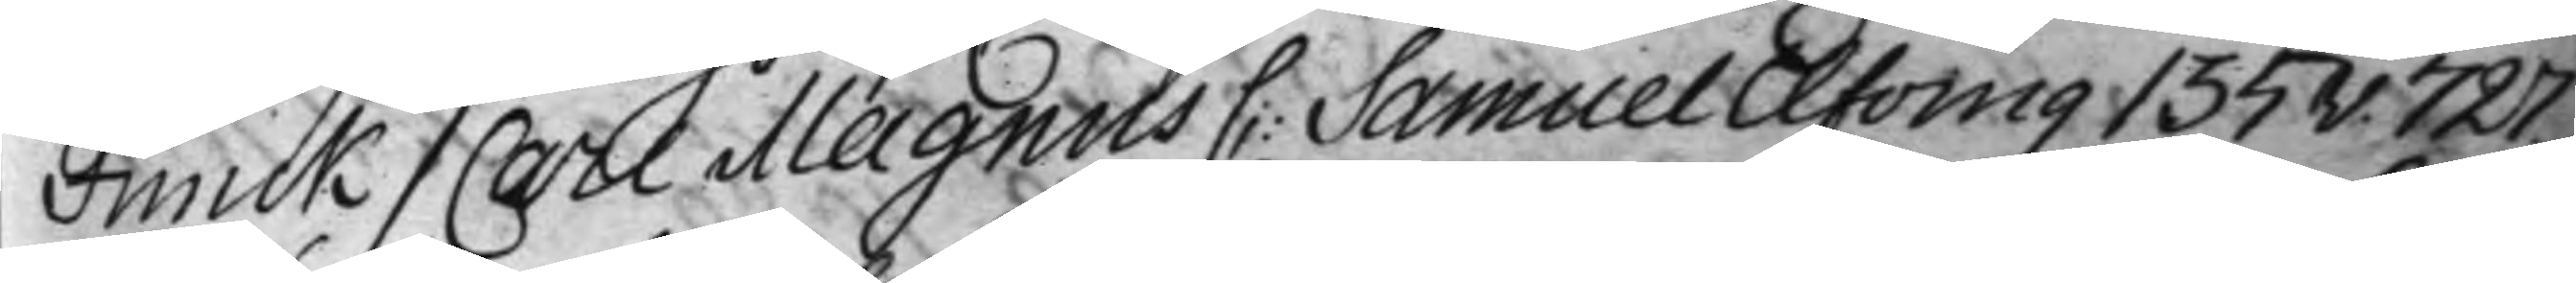Funck / Carl Magnus C: Samuel Eflving 135v. 727.
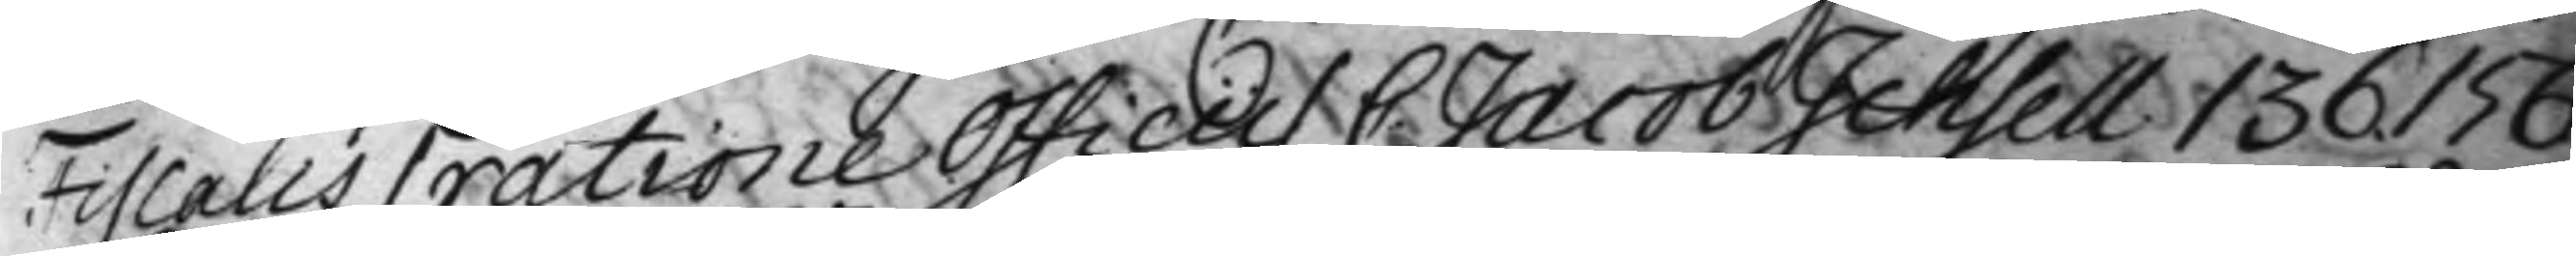Fiscalis / ratione Officii / C: Jacob Ichsell 136. 156
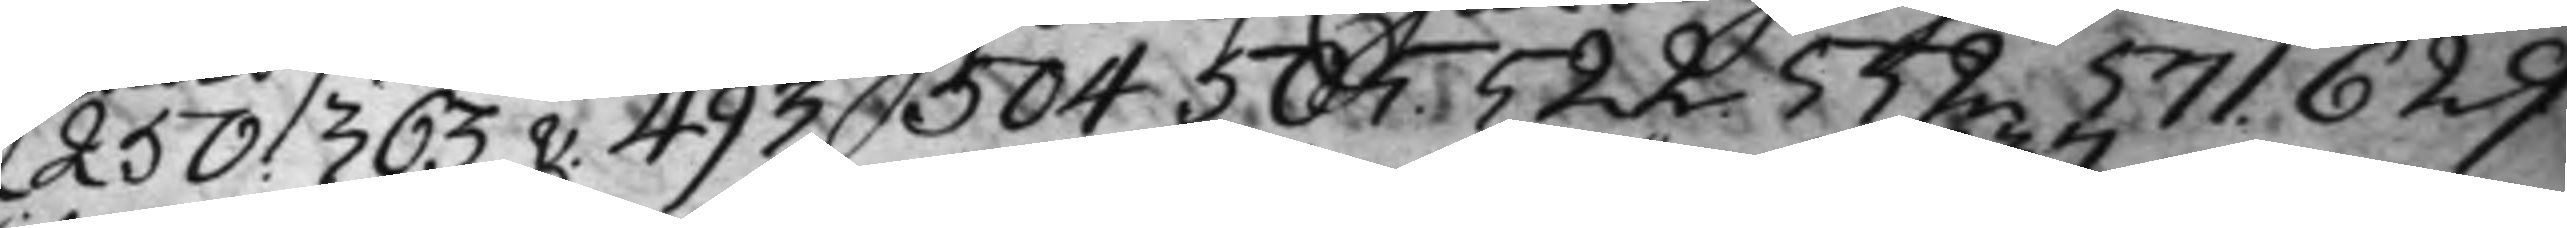250. 363v. 493. 504 505. 522. 552. 571. 629
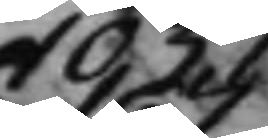1037
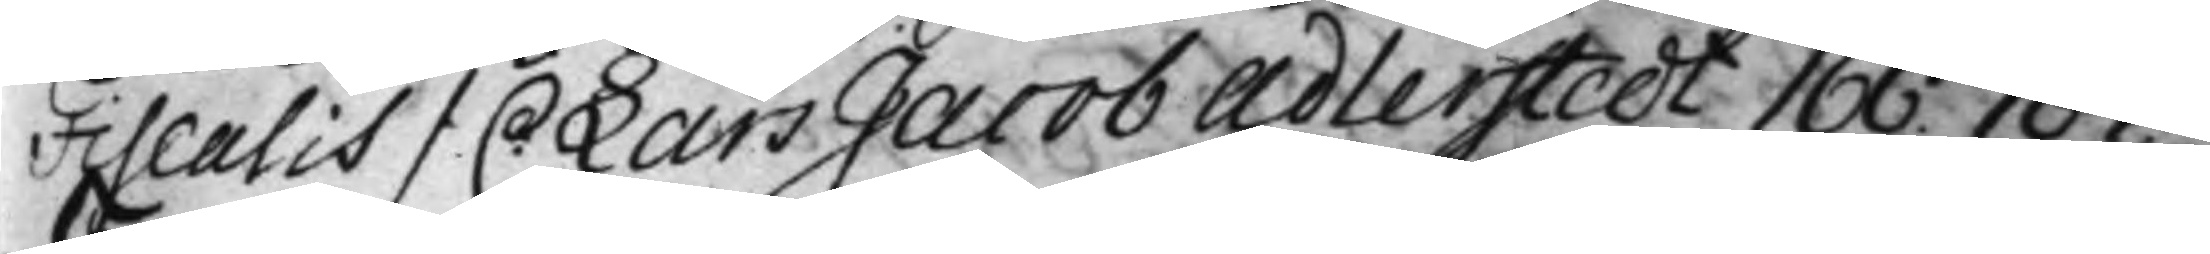Fiscalis / C Lars Jacob Adlerstedt 166. 167.
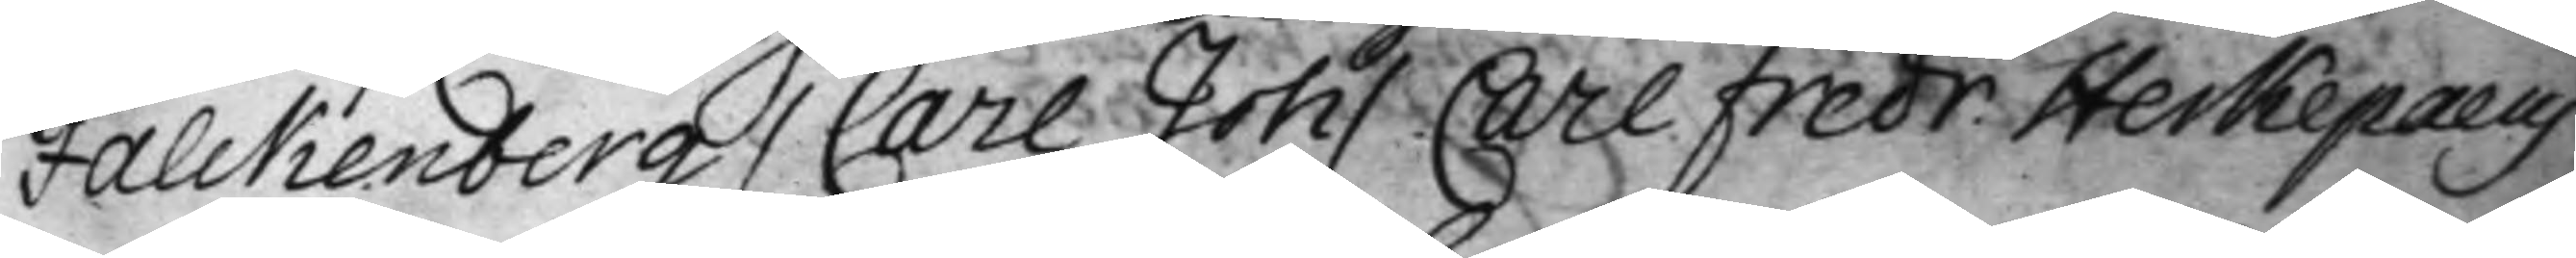Falckenberg / Carl Joh / Carl Fredr: Herkepæus
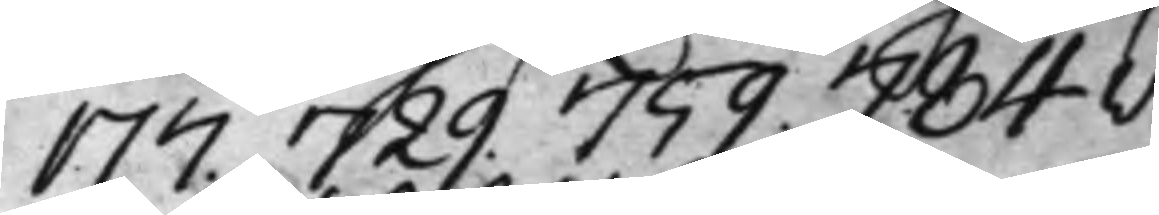177. 729. 759. 784v.
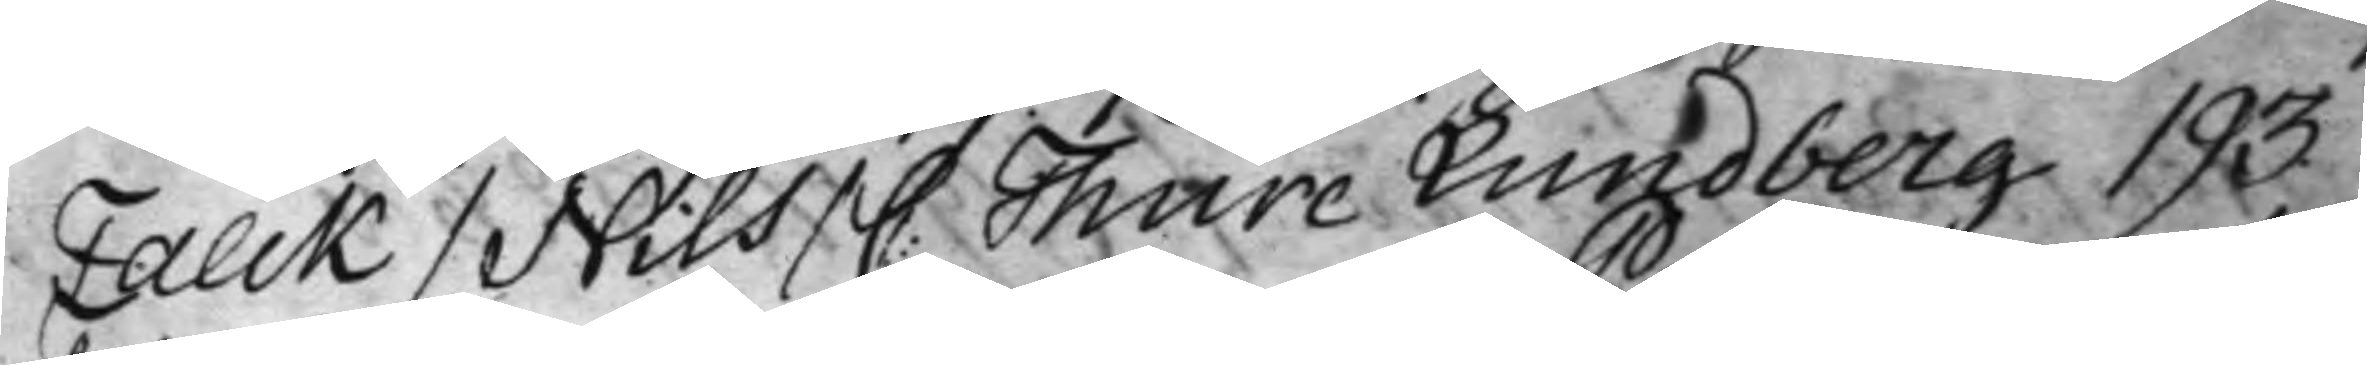Falck / Nils / C: Thure Lundberg 193.
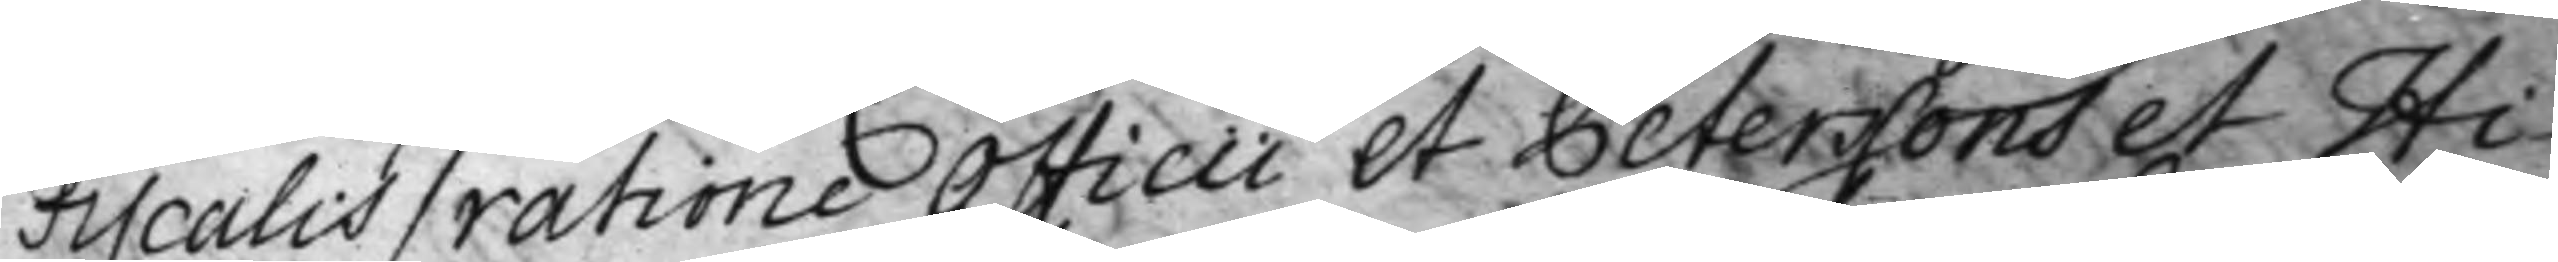Fiscalis / ratione Officii et Peterssons et Hi¬
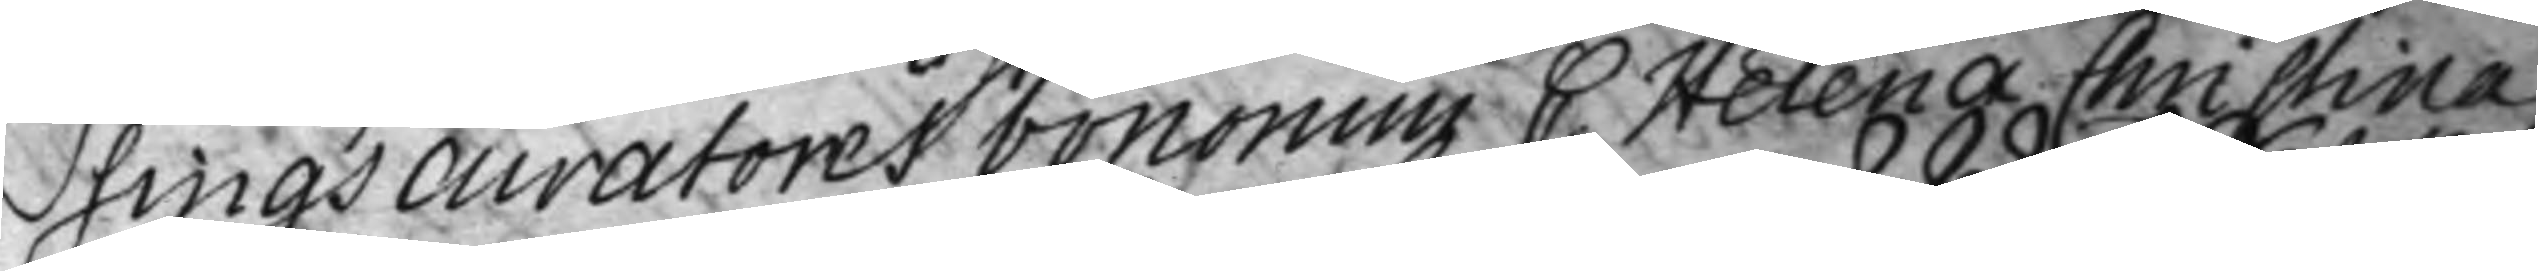sings curatores bononmi C. Helena Christina
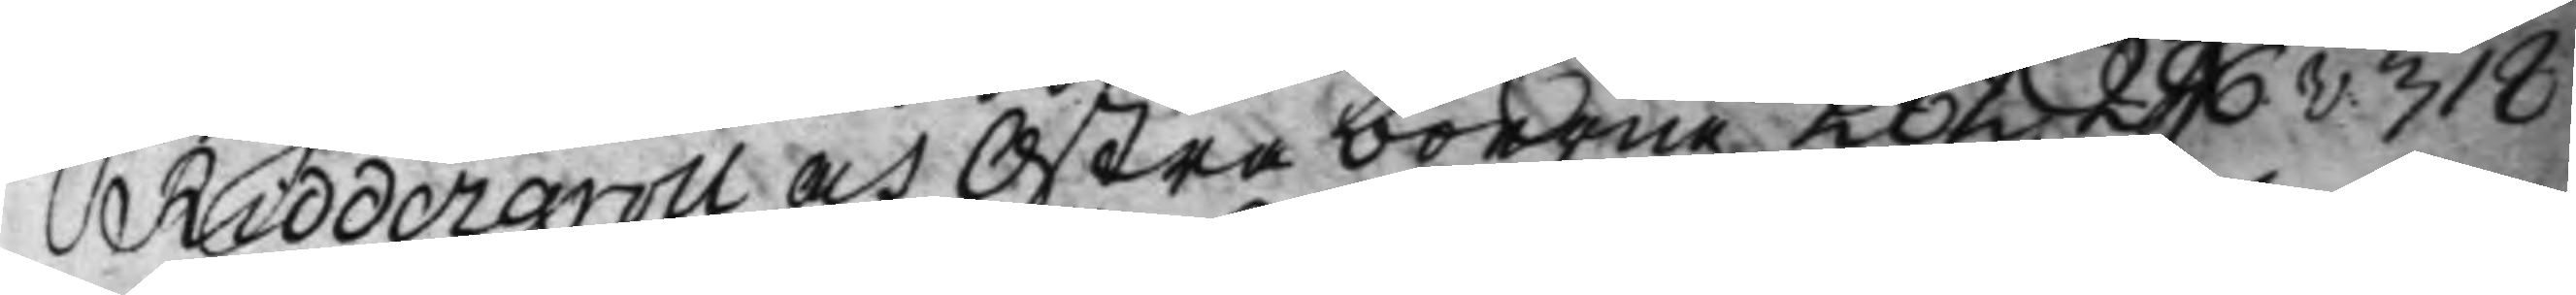Riddergroll och Ostra boerne 282. 296v. 318
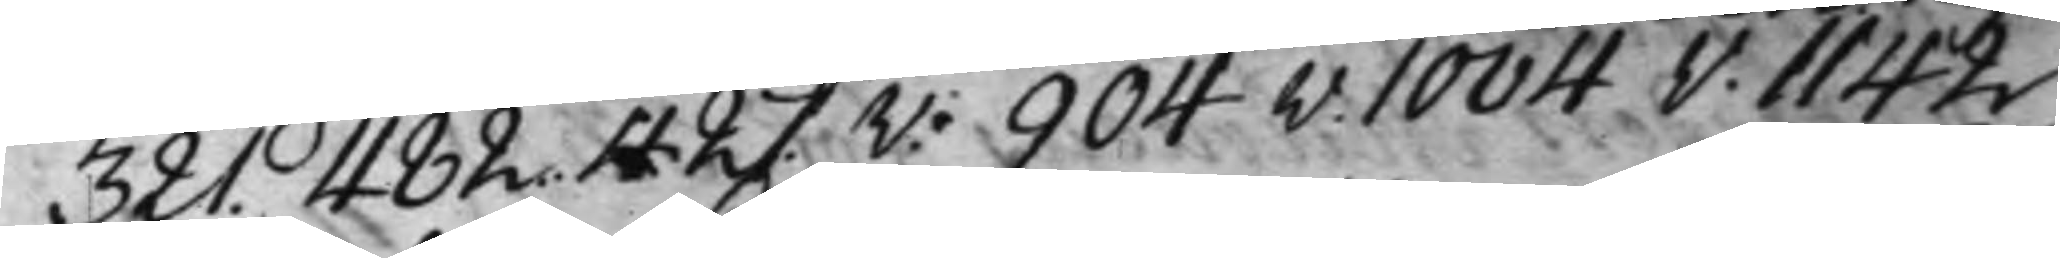321. 482. 427.v. 904v. 10040v. 1142
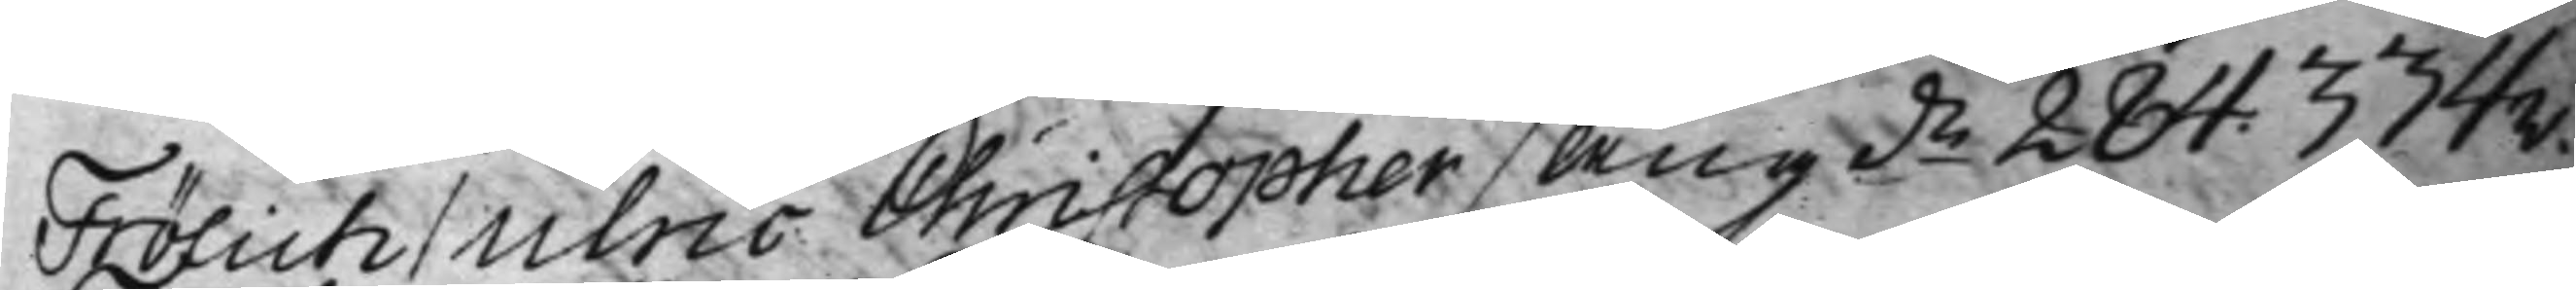Frölich / Ulric Christopher / Angde 284. 334v.
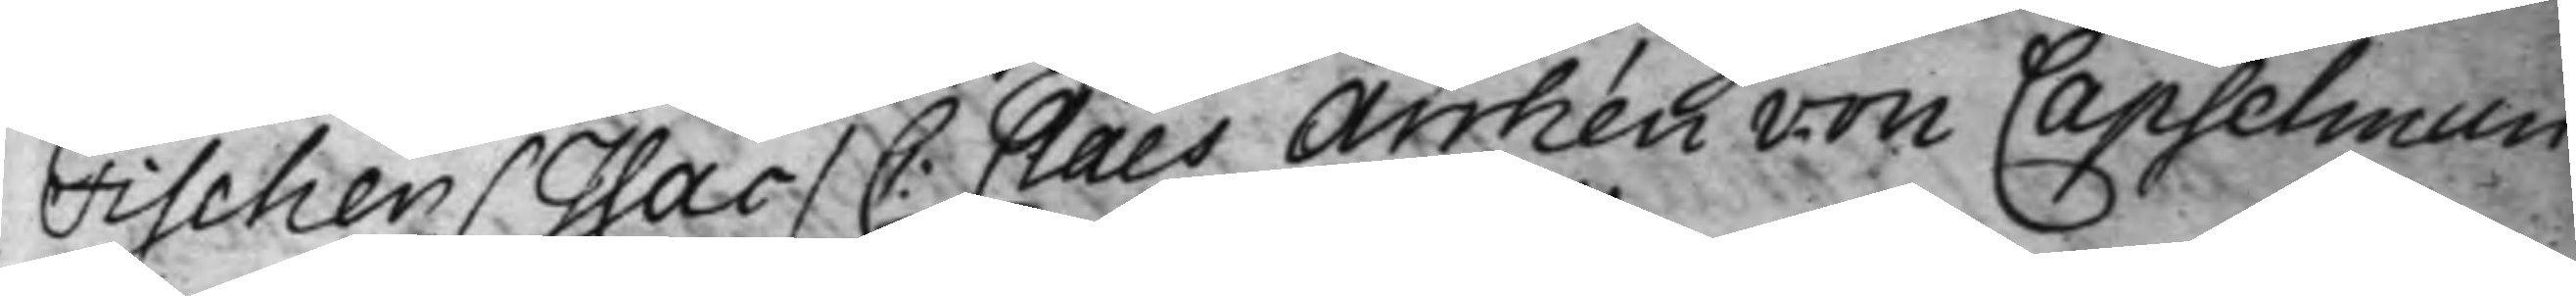Fischer / Jsac / C: Claes Arrhén von Capselman
